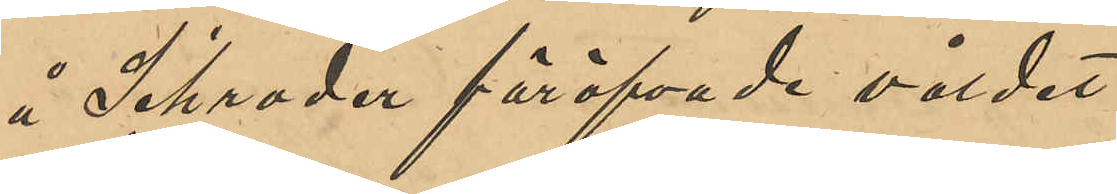å Schrader föröfvade våldet.
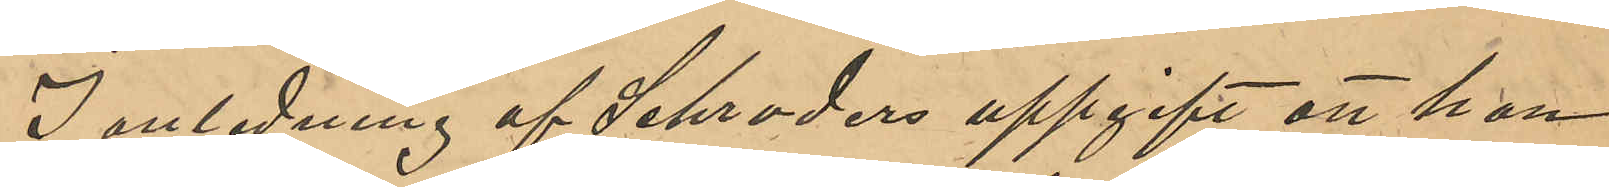I anledning af Schraders uppgift att han
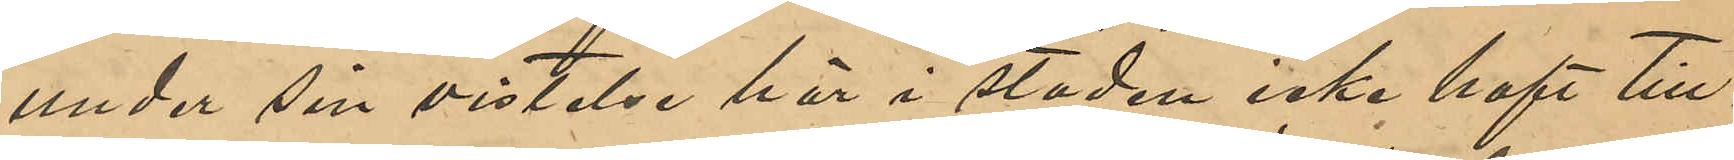under sin vistelse här i staden icke haft till¬
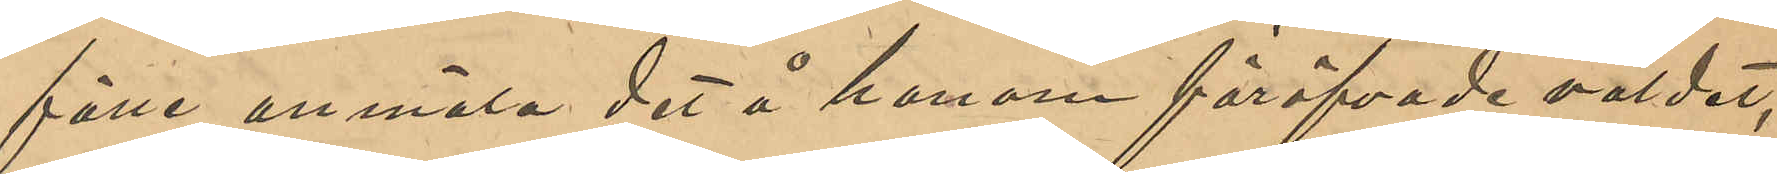fälle anmäla det å honom föröfvade våldet,
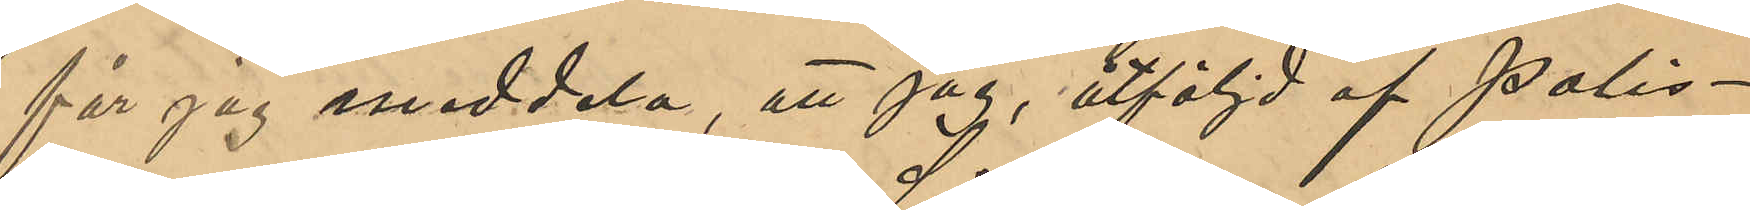får jag meddela, att jag, åtföljd af Polis¬
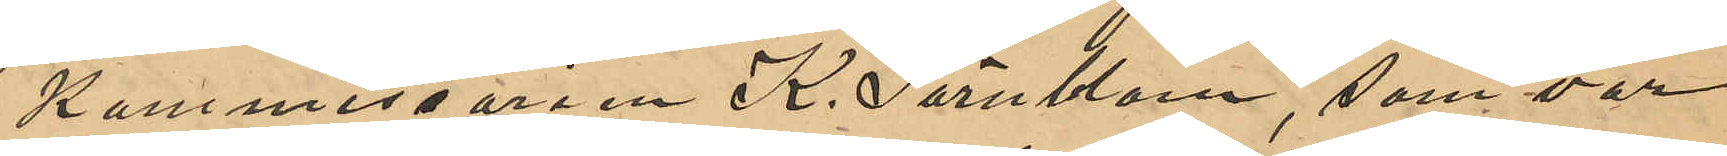Kommisarien K. Särnblom, som var
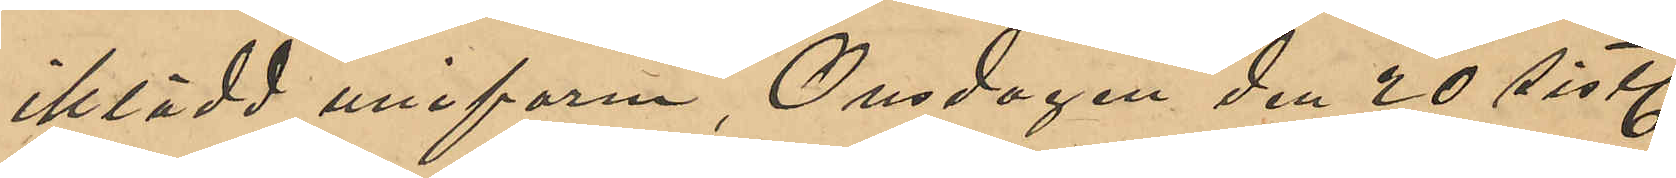iklädd uniform, Onsdagen den 20 sistl
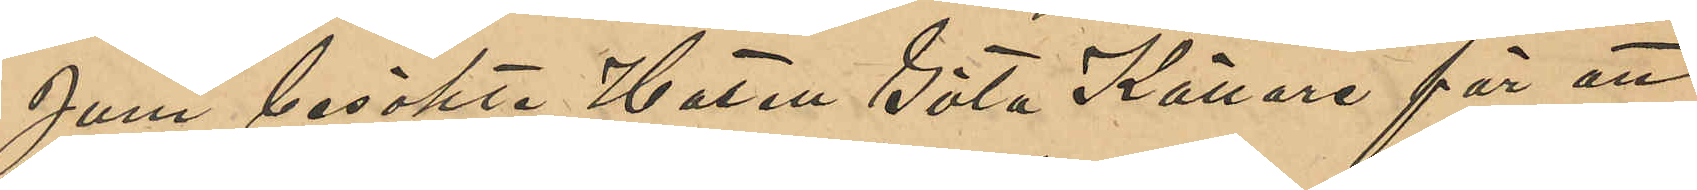Juni besökte Hotell Göta Källare för att
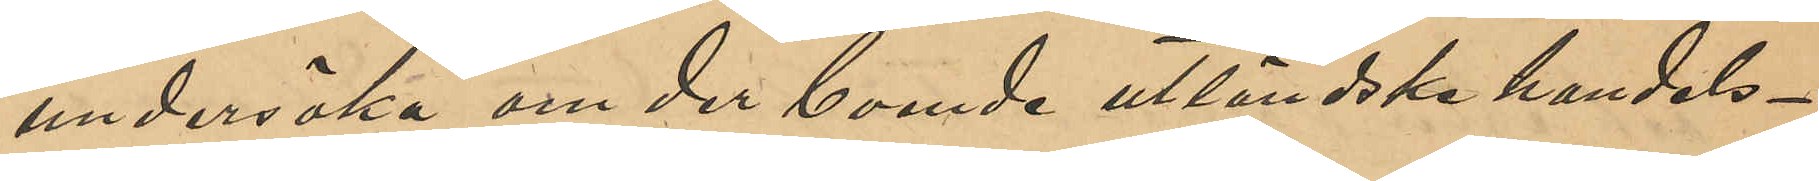undersöka om der boende utländska handels¬
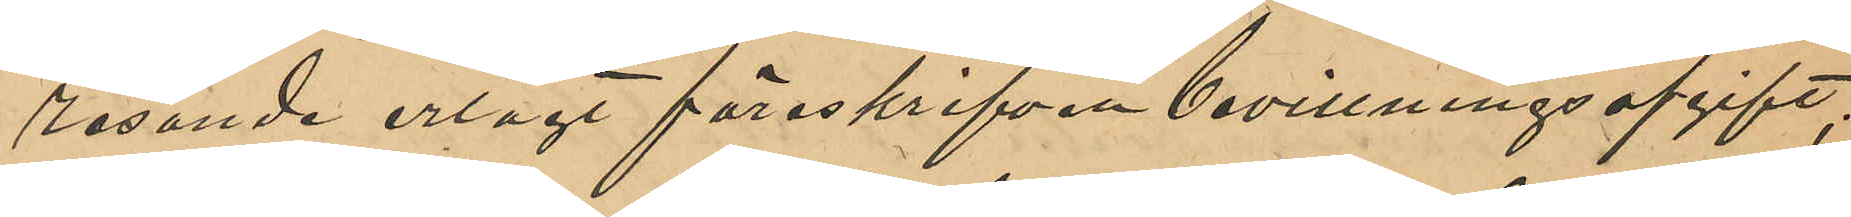resande erlagt föreskrifven bevillningsafgift;
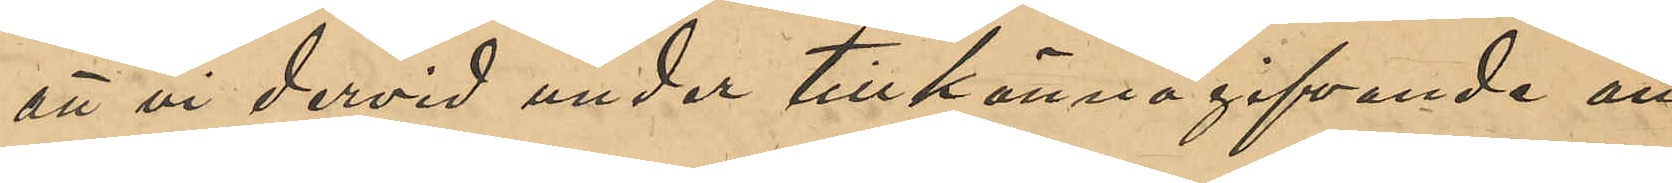att vi dervid under tillkännagifvande att
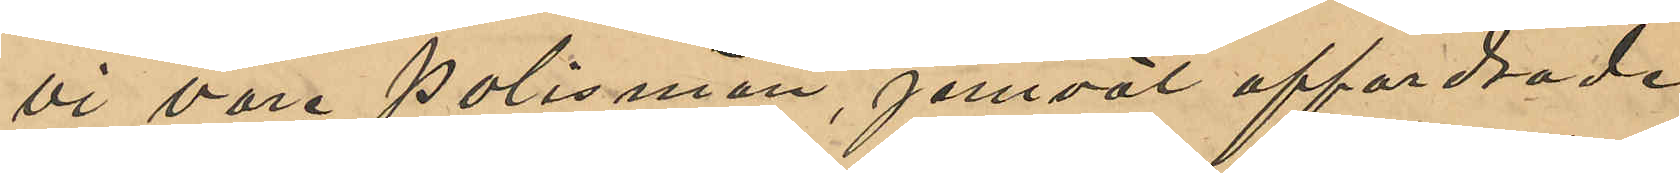vi vore Polismän, jemväl affordrade
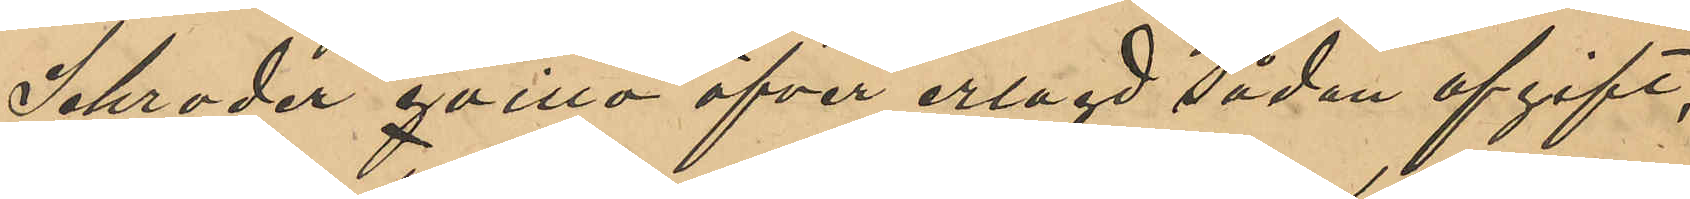Schrader qvitto öfver erlagd sådan afgift,
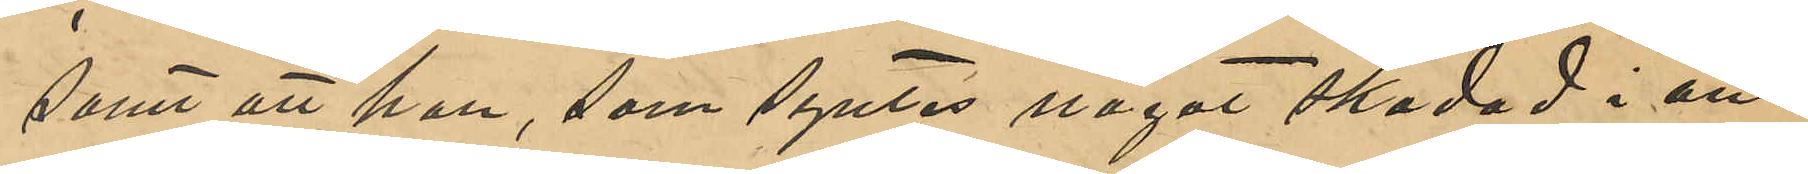samt att han, som syntes något skadad i an¬
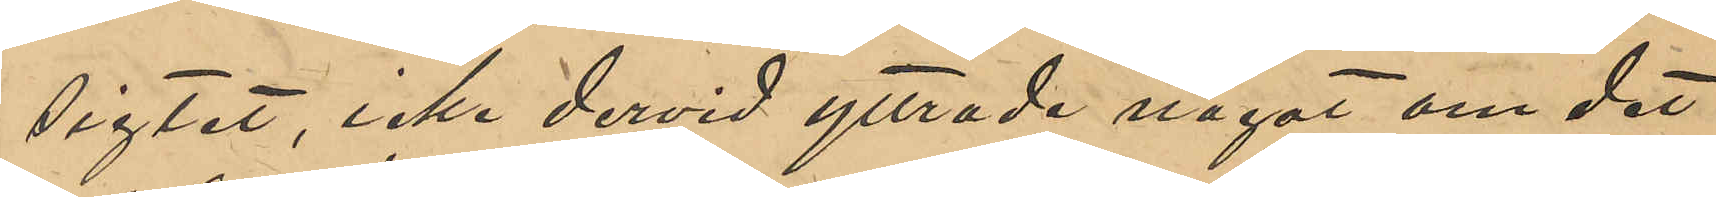sigtet, icke dervid yttrade något om det
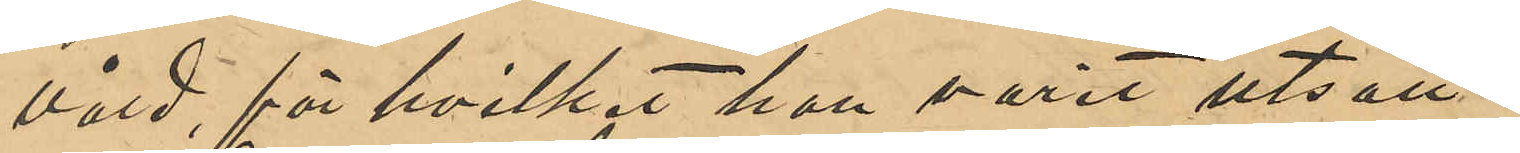våld, för hvilket han varit utsatt.
